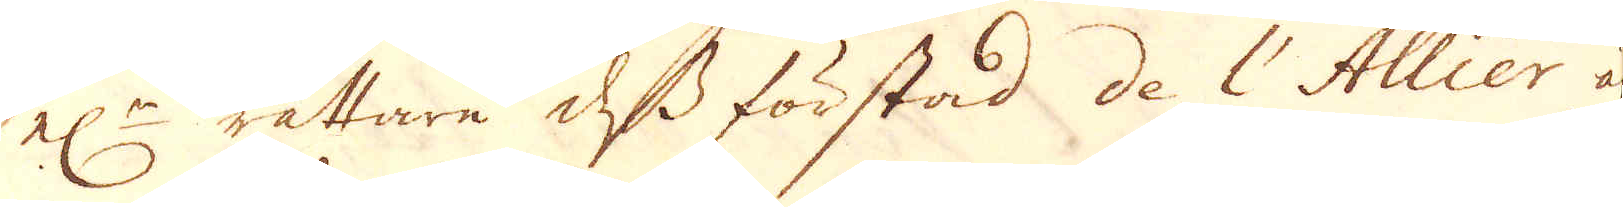el:r rättare dess förstad de l'Allier är
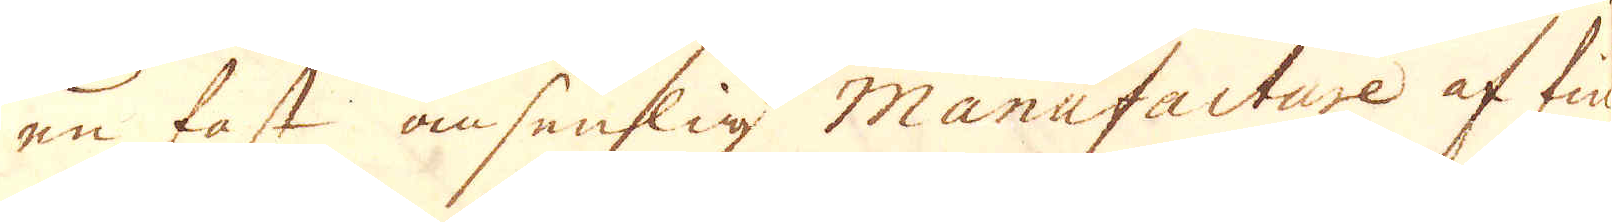en fast ansenslig Manufacture af fin-
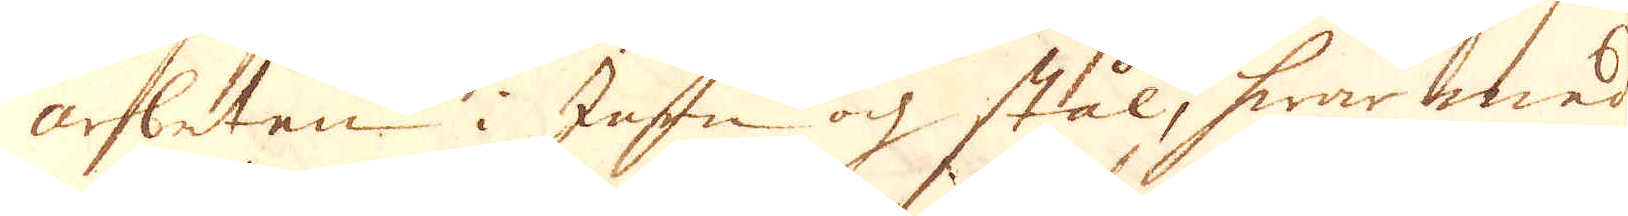arbeten i Jern och stål, hwar med
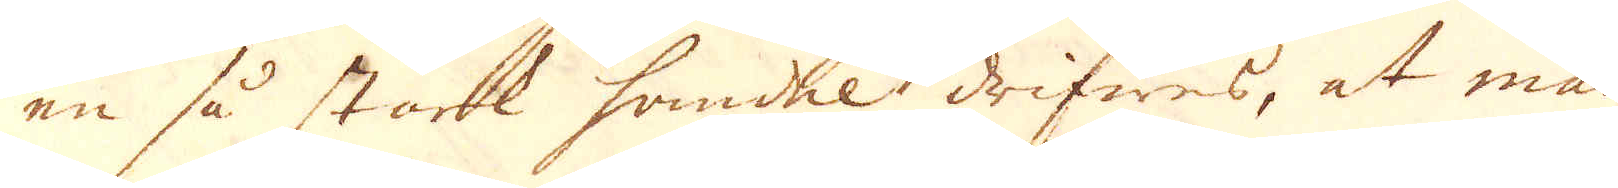en så stark handel drifwes, at man
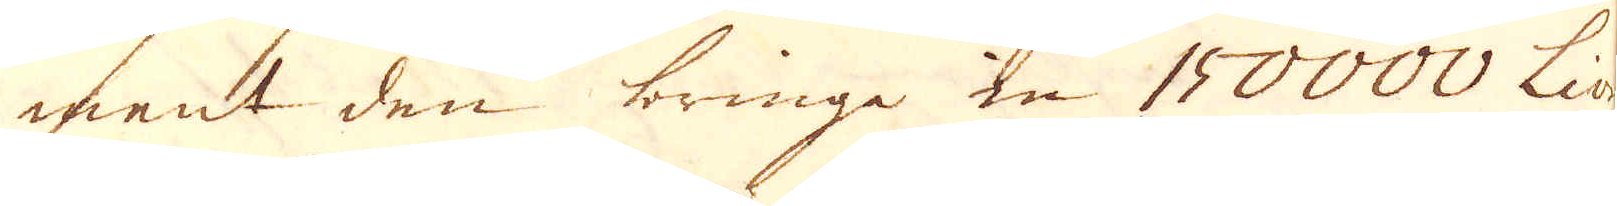ment den bringa en 150000 Livres
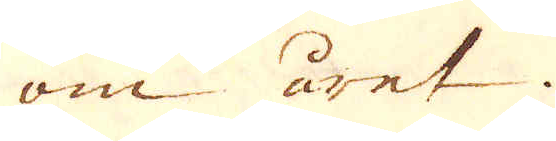om året.
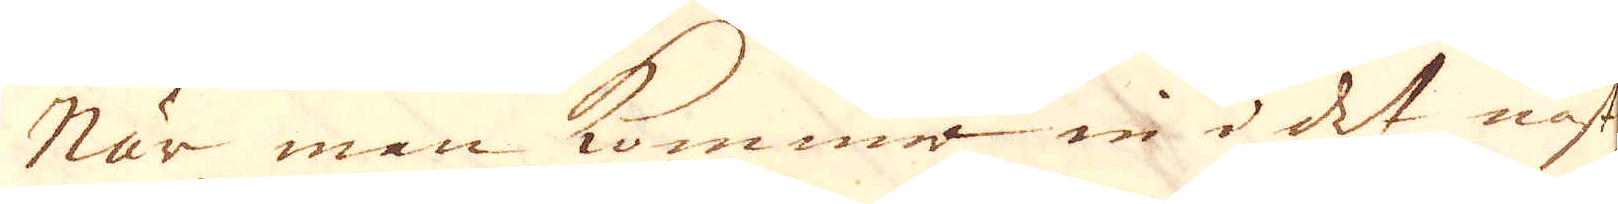När man komma in i det näst-
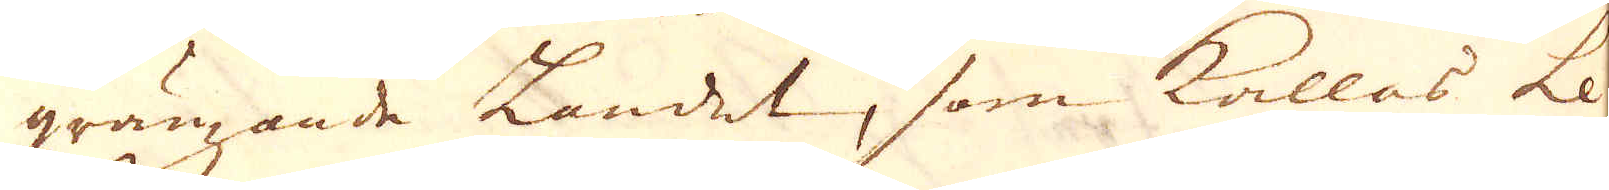gränzande Landet, som kallas Le
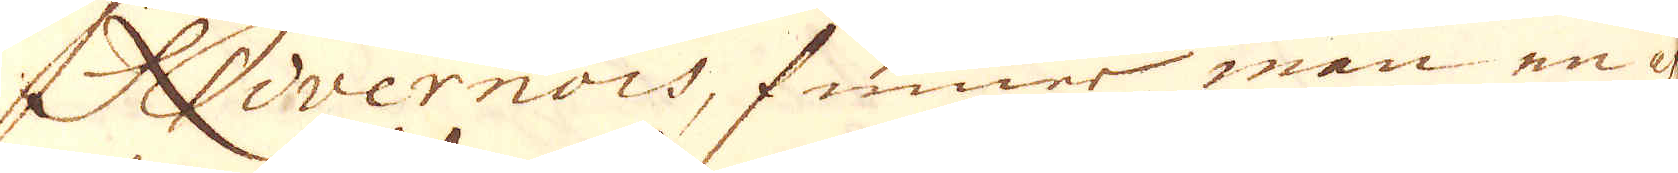Livernois, finner man en af
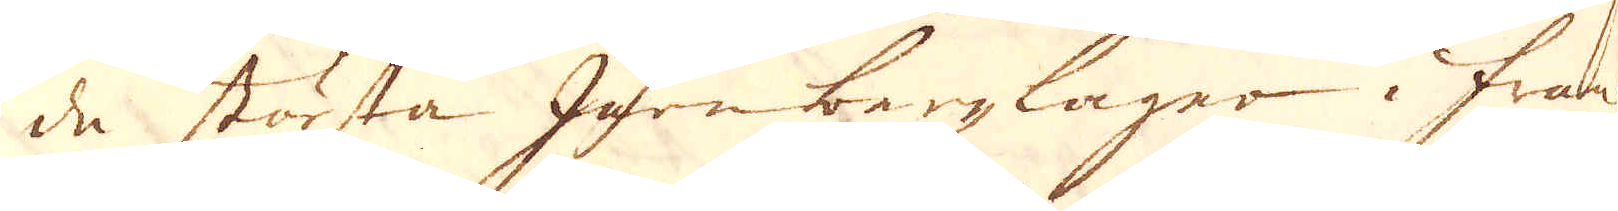de största Jern bergzlager i Frank-
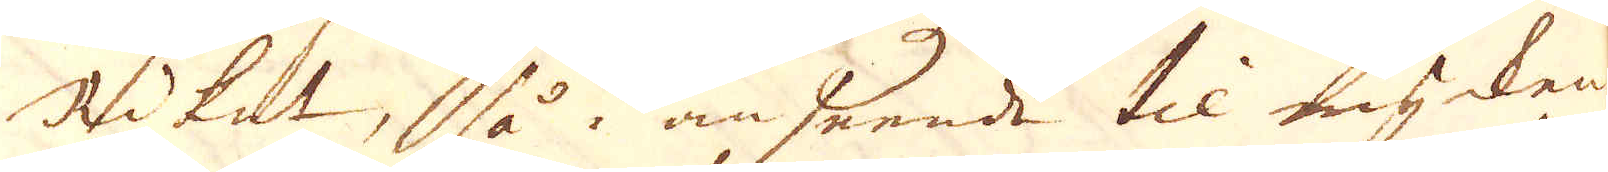Riket, så i anseende til mycken-
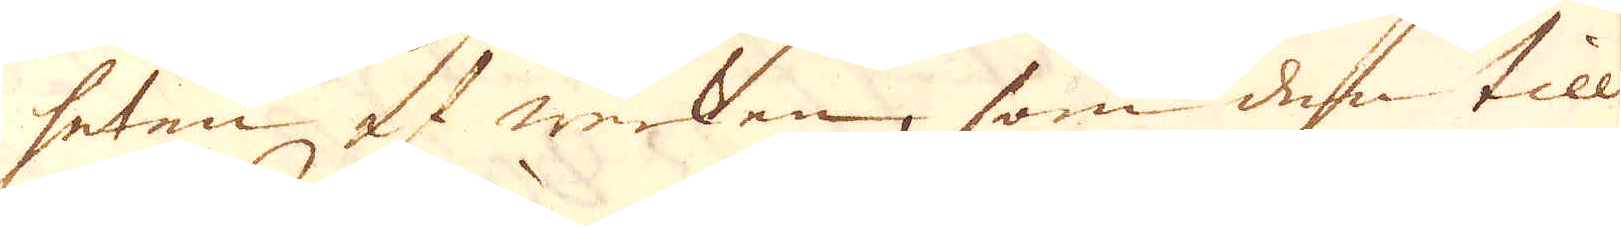heten af werken, som den till-
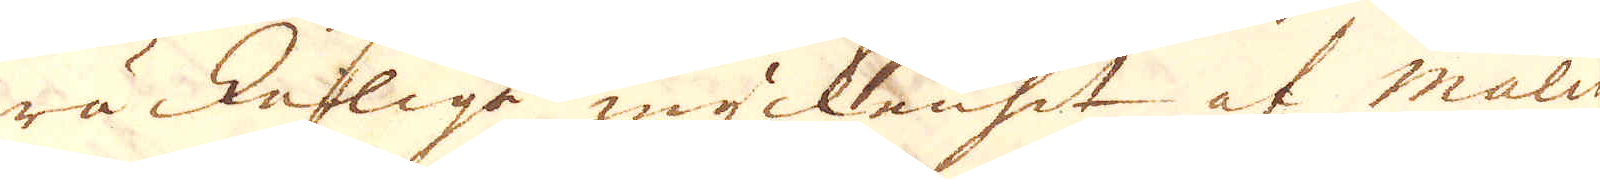räckeliga myckenhet af malm
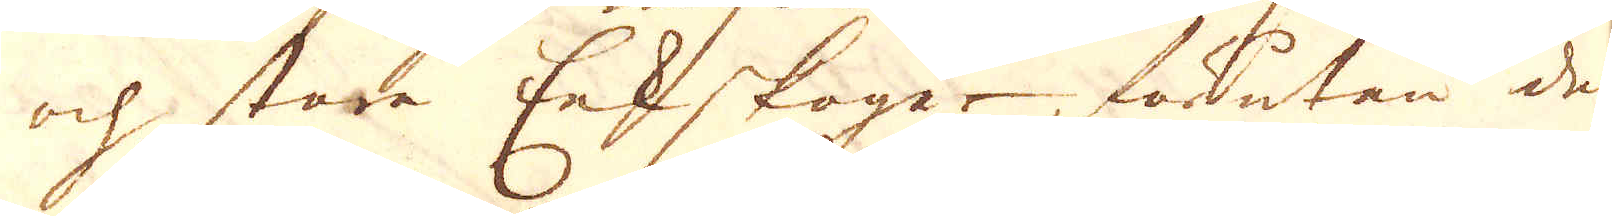och stora Eekskoger, förutan den
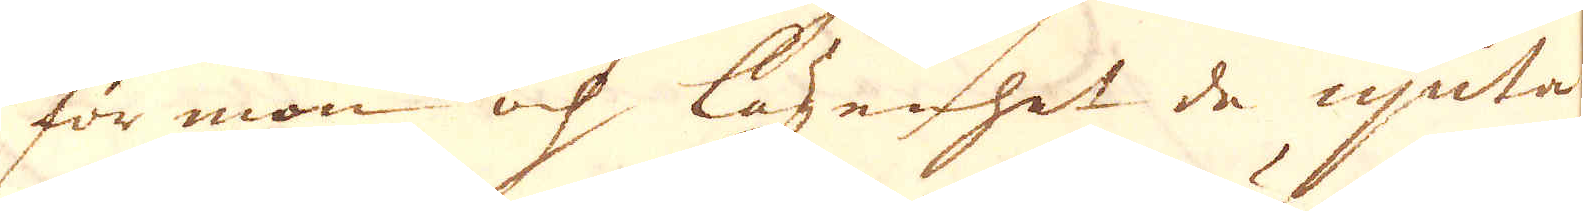förmon och lägenhet de njuta
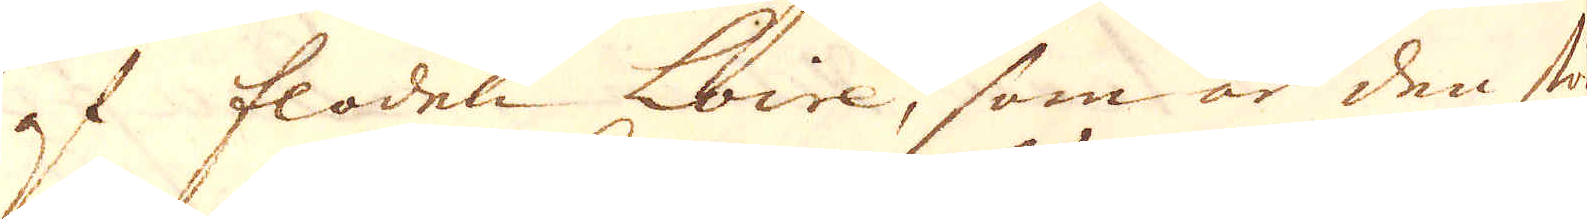af floden Loire, som är den stör-
